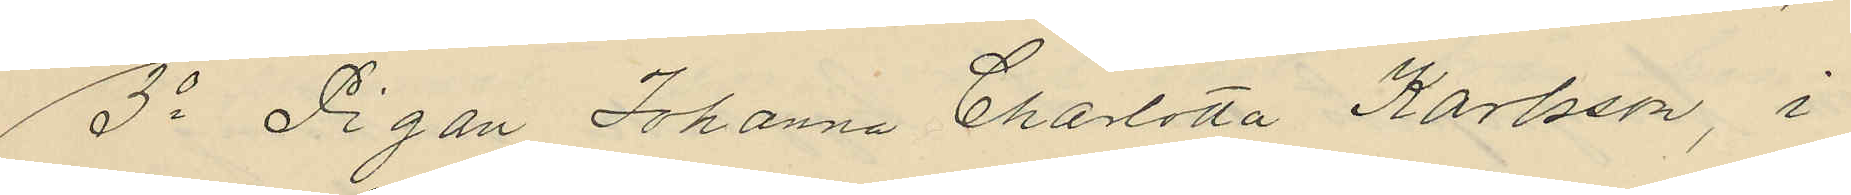3o Pigan Johanna Charlotta Karlsson, i
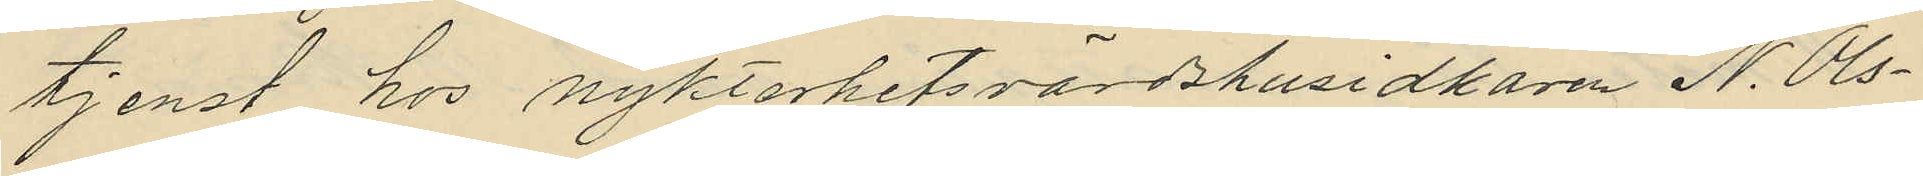tjenst hos nykterhetsvärdshusidkaren N. Ols¬
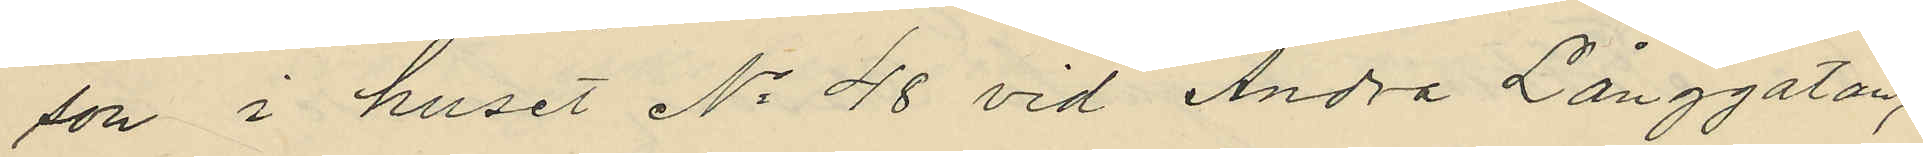son i huset No 48 vid Andra Långgatan,
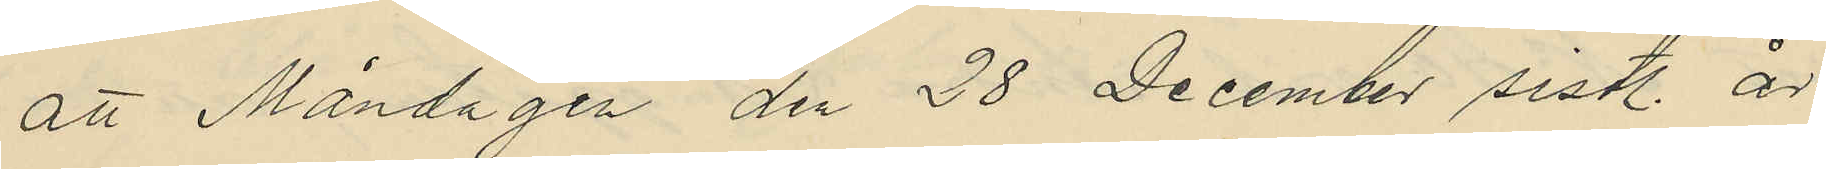att Måndagen den 28 December sist. år
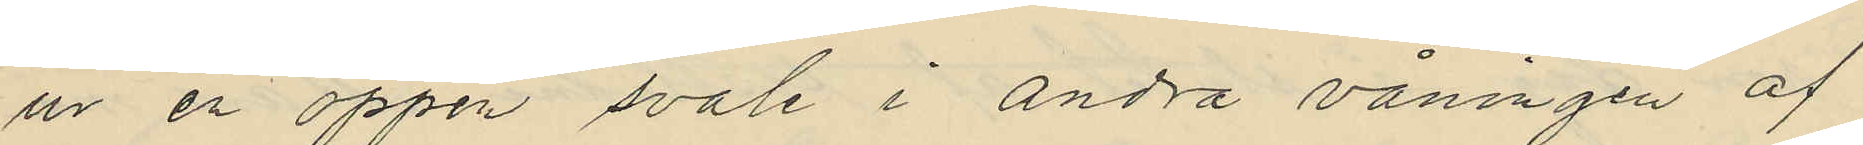ur en öppen svale i andra våningen af
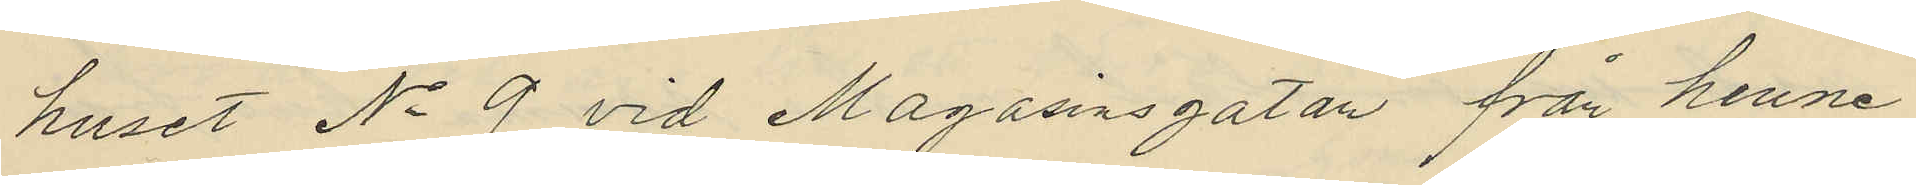huset No 9 vid Magasinsgatan från henne
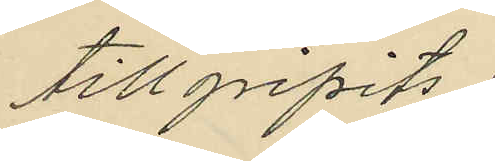tillgripits:
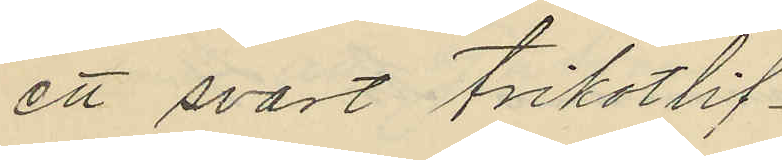ett svart trikotlif
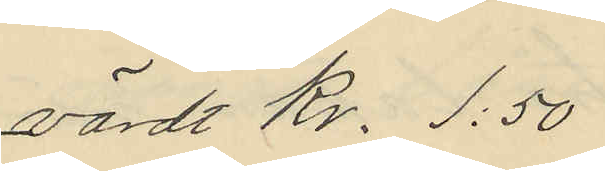värdt Kr. 1:50
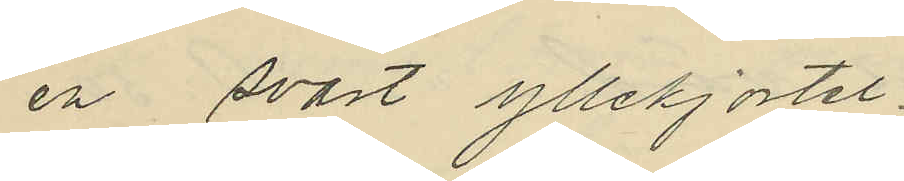en svart yllekjortel
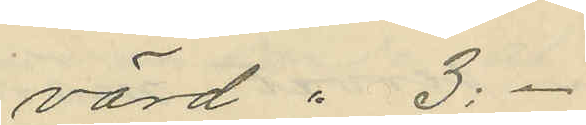värd " 3:-
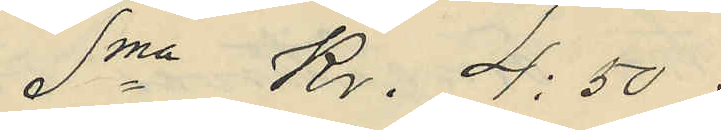Sma Kr. 4:50
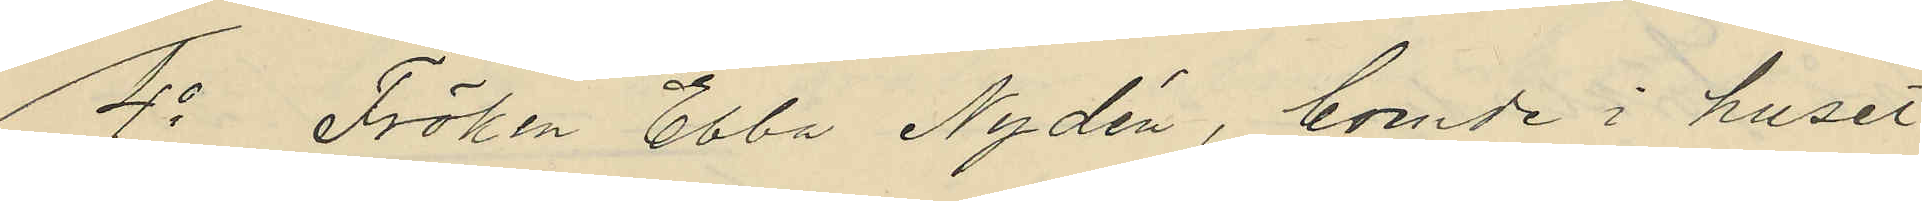4o Fröken Ebba Nydén, boende i huset
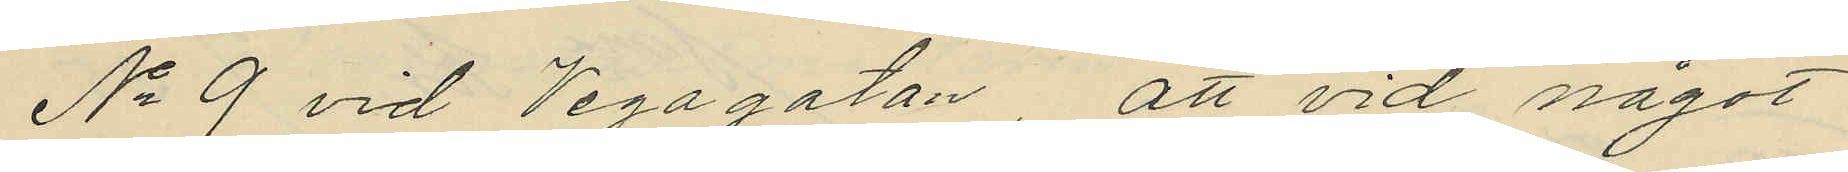No 9 vid Vegagatan, att vid något
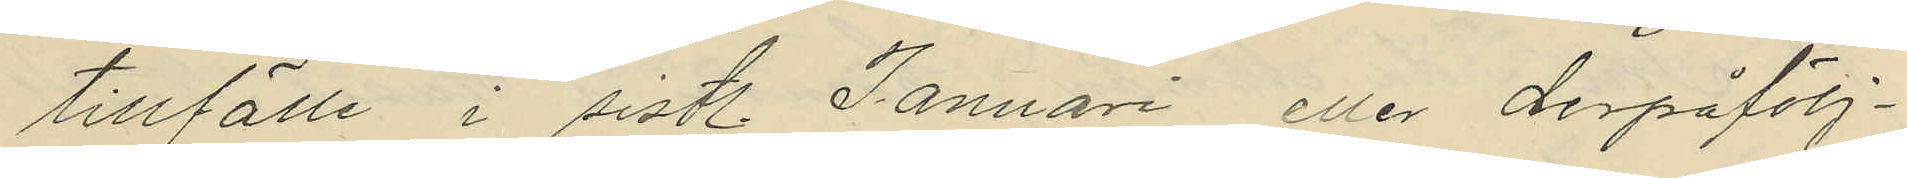tillfälle i sistl. Januari eller derpåfölj¬
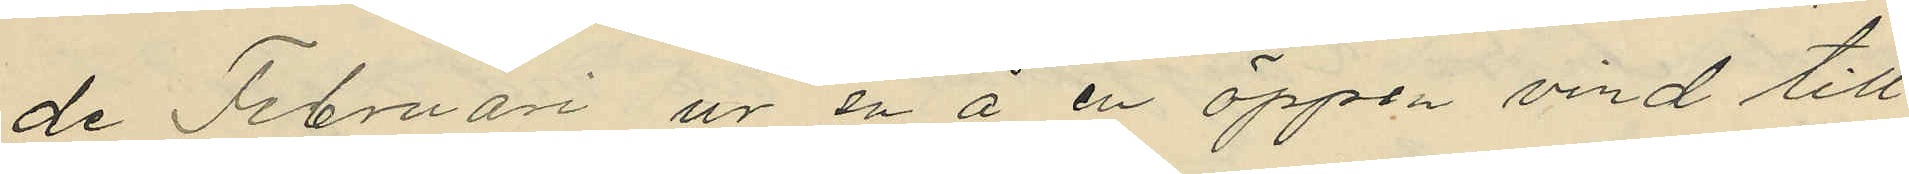de Februari ur en å en öppen vind till
